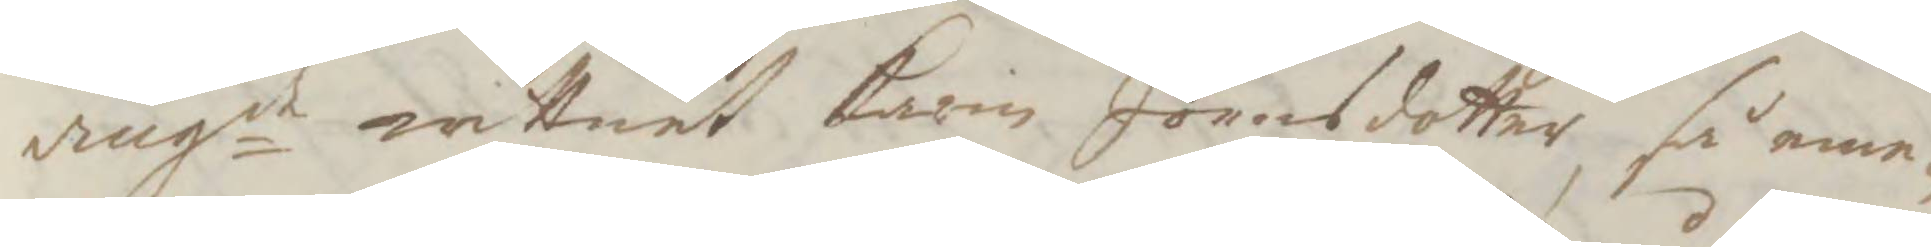angde wittnet Karin Jonasdotter, så eme¬
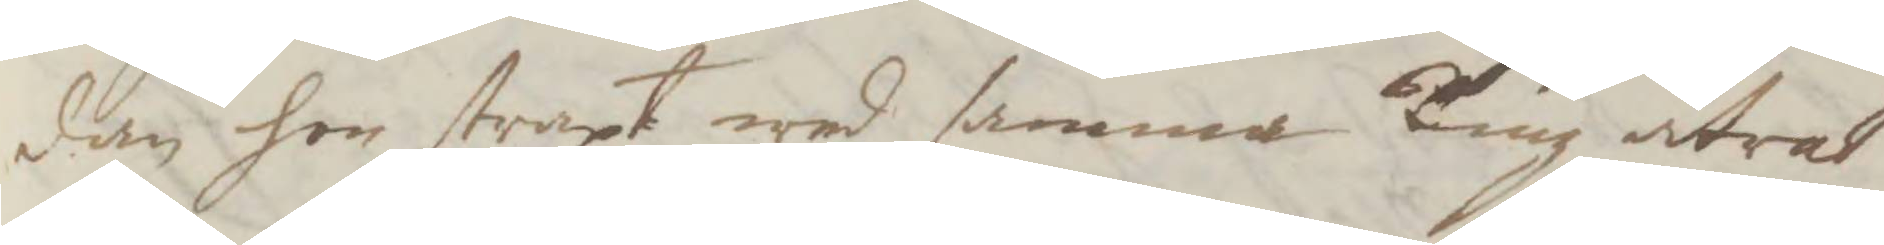dan hon straxt wed samma Ting åtrat
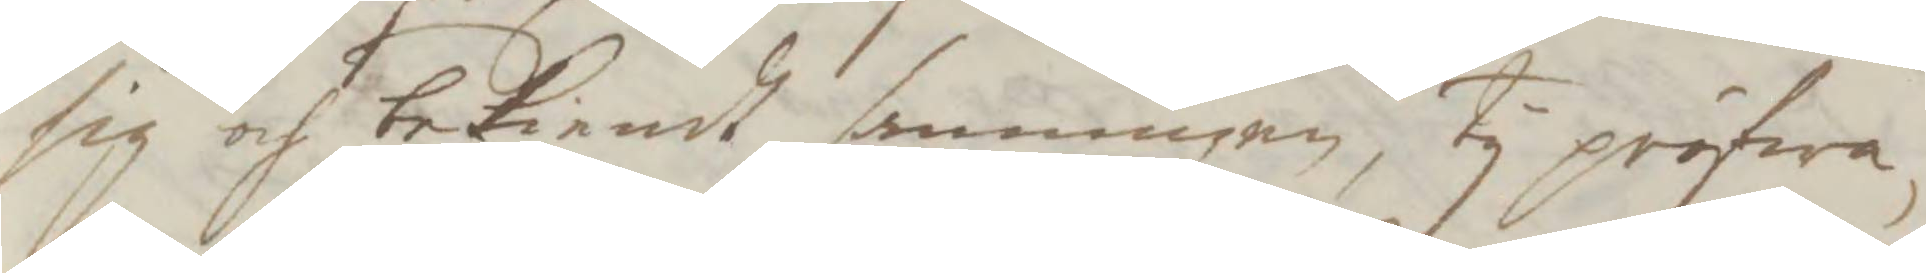ig och bekiendt sanningen, Ty pröfwa¬
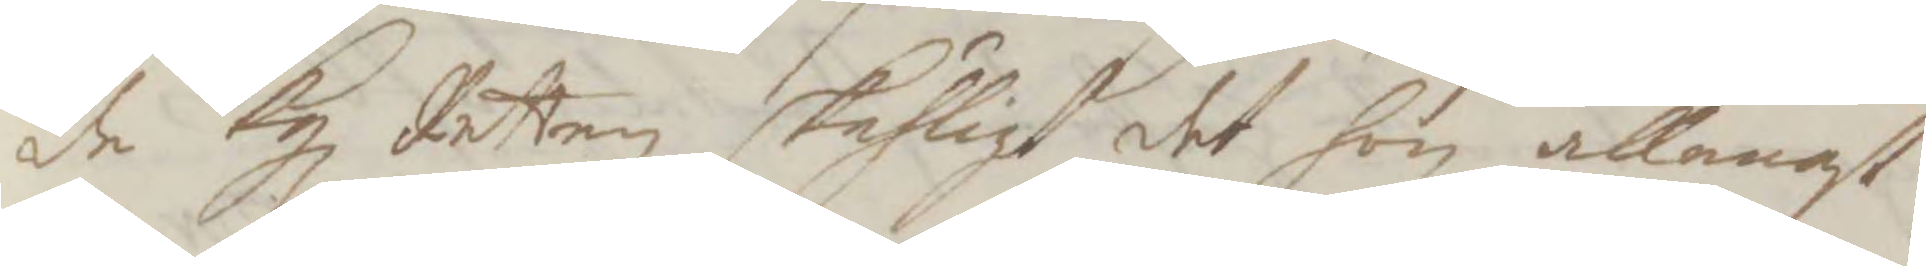de Kgl Retten skähligt det hon allenast
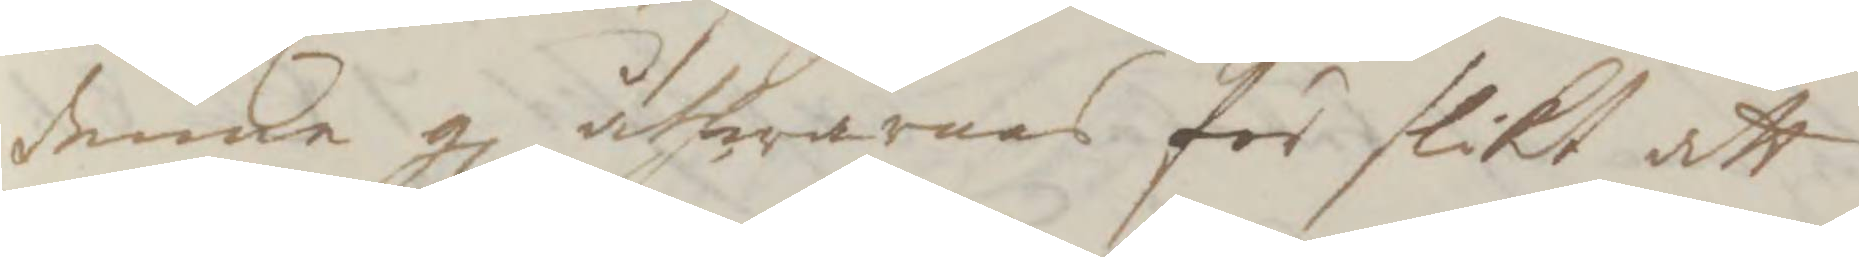denne gl åthwarnas för slikt att
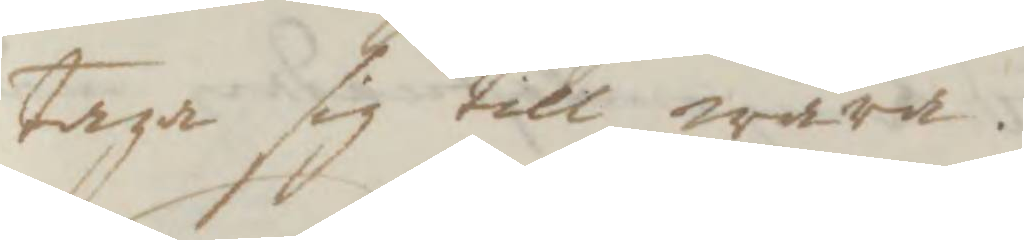taga sig till wara.
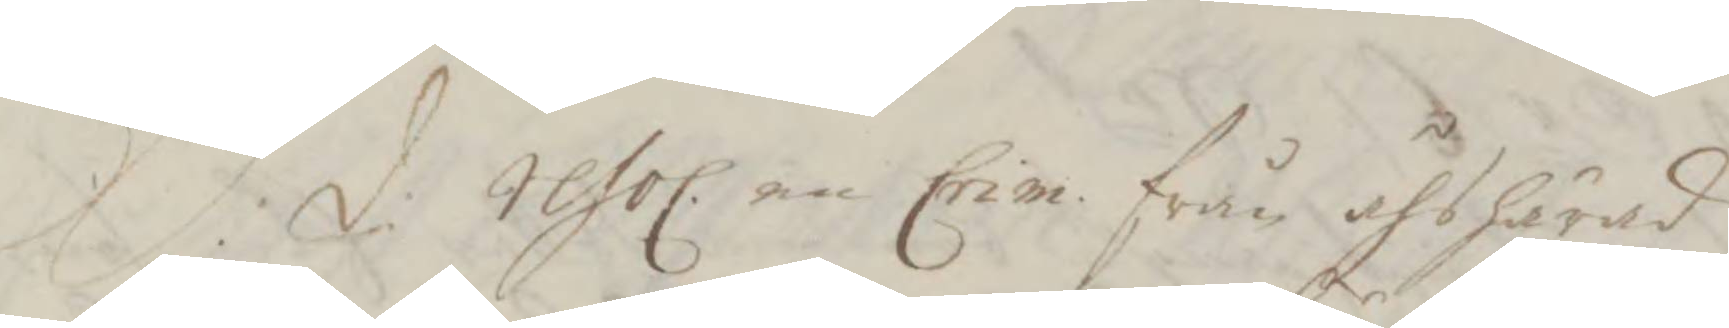S:d: resol. en Crim. från åhs härad
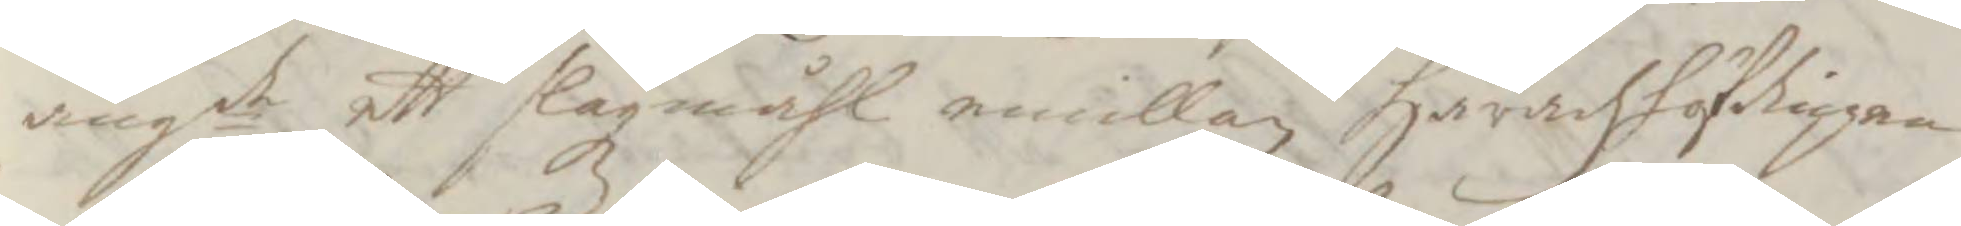angde ett slagsmåhl emillan Häradzhöfdingen
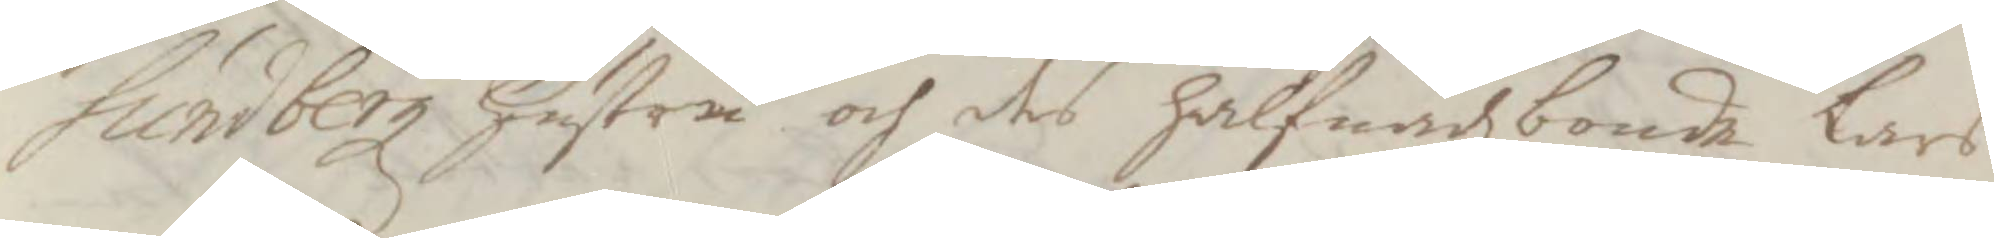Sundbergz hustru och des halfnadzbonde Lars
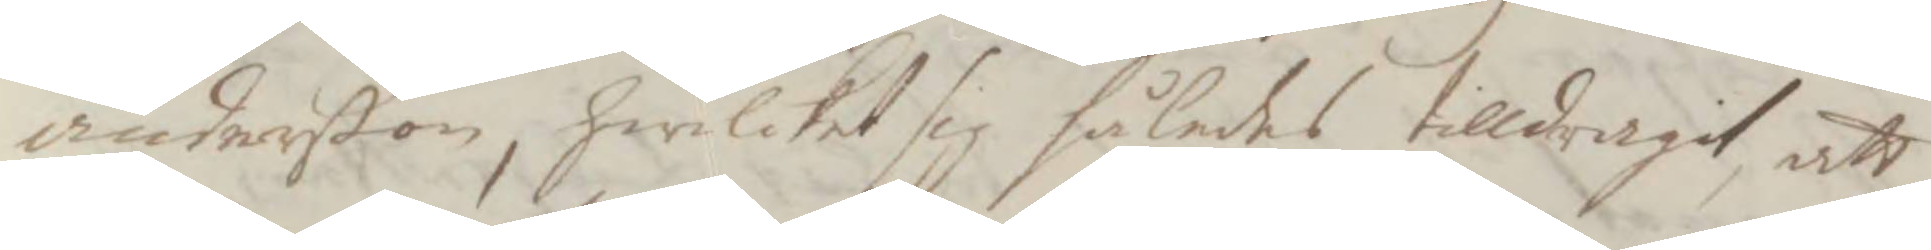anderßon, hwilken sig således tilldragit att
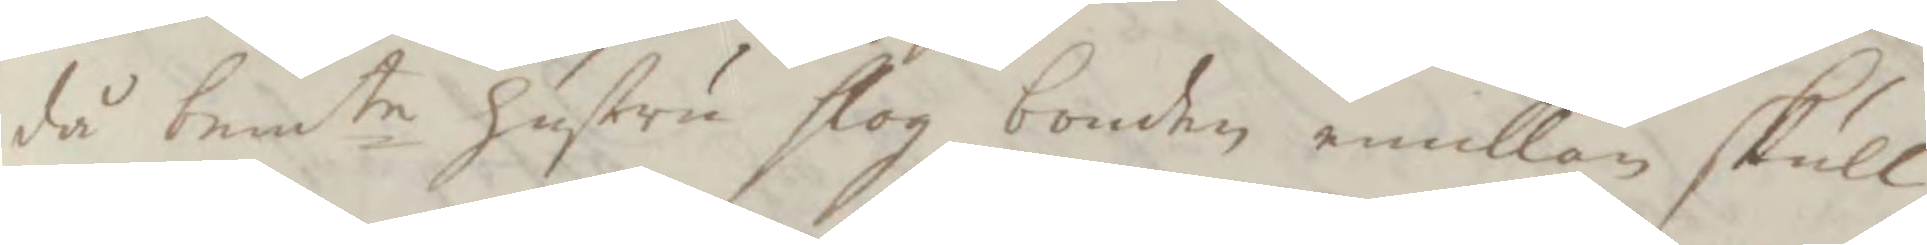då bemte hustru slog bonden emillan skull¬
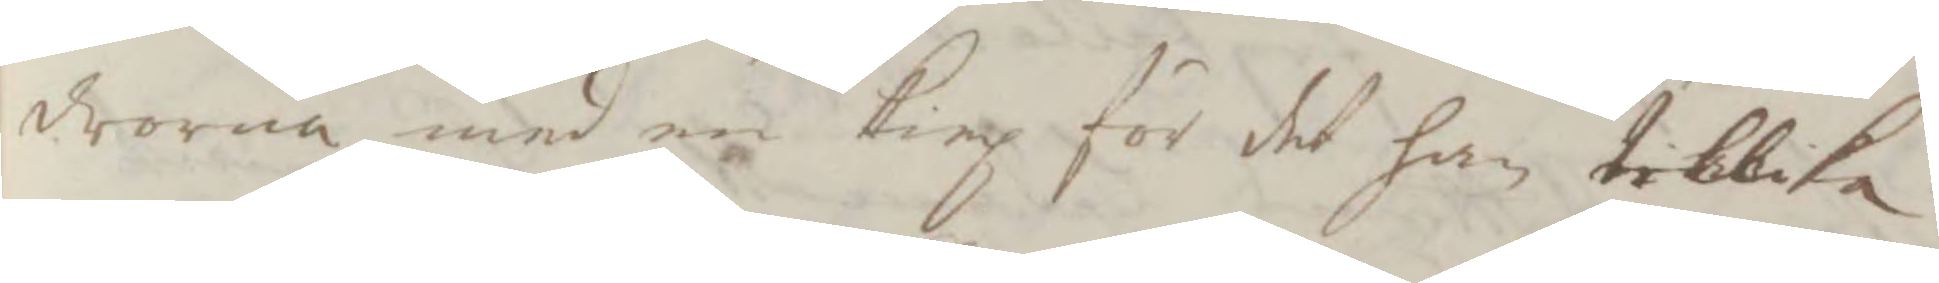drorna med en king för det han tillika
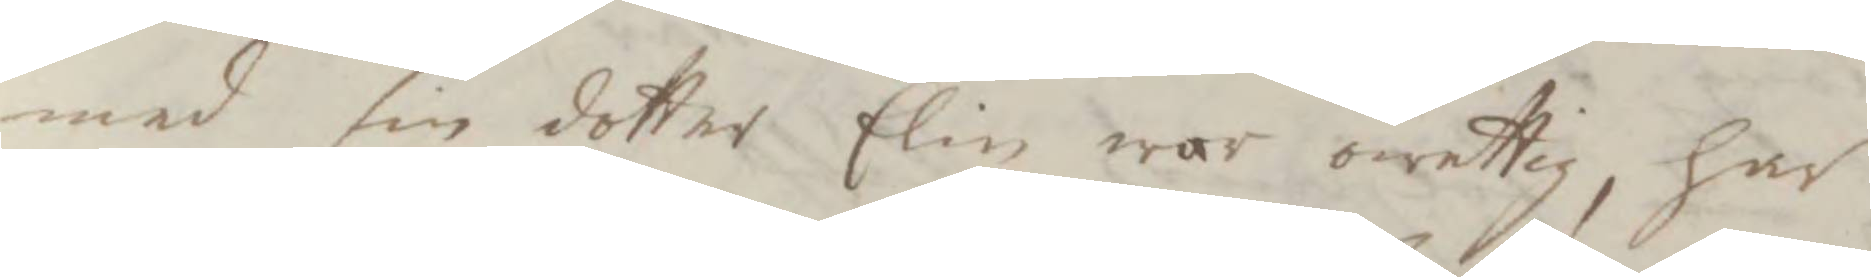med sin dotter Elin war owettig, har
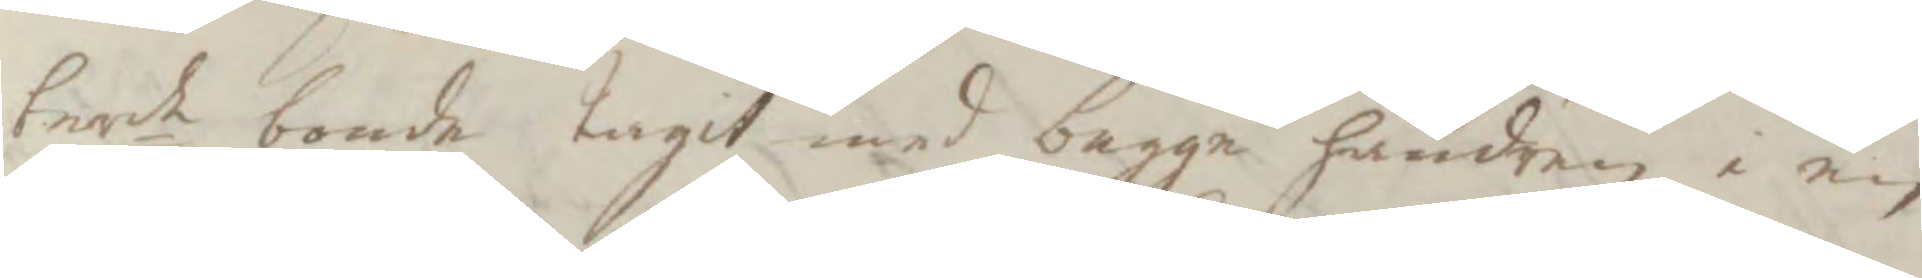bemte bonde tagit med begge händren i en
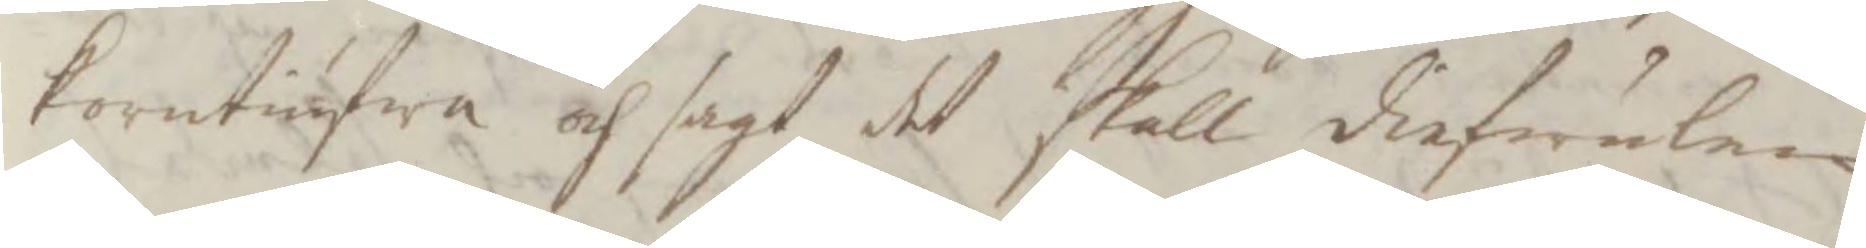korntiufwa och sagt det skall diefwulen
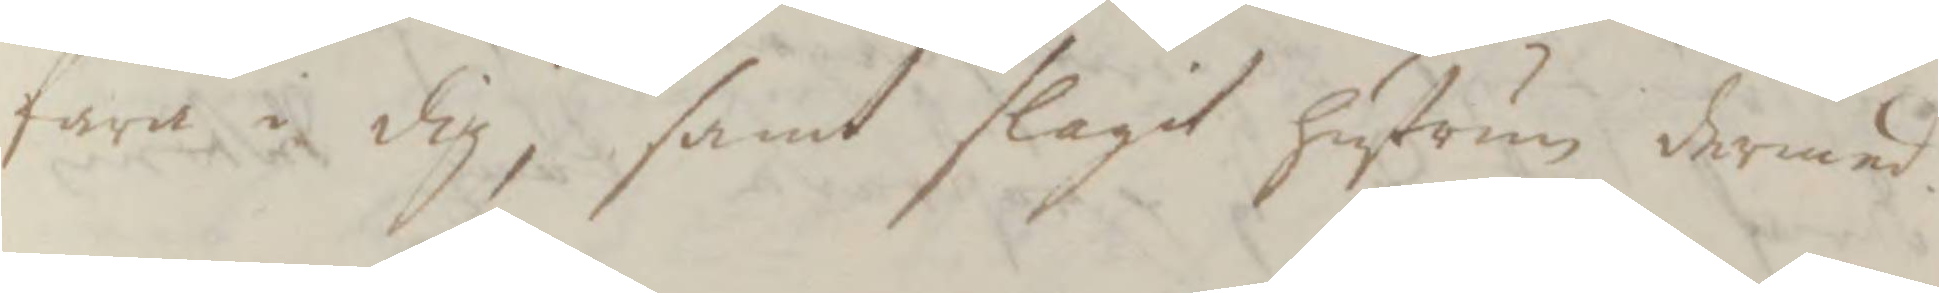fara i dig, samt slagit hustrun dermed
